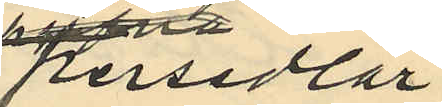persedlar
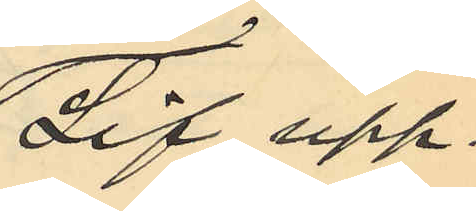Lif upp¬
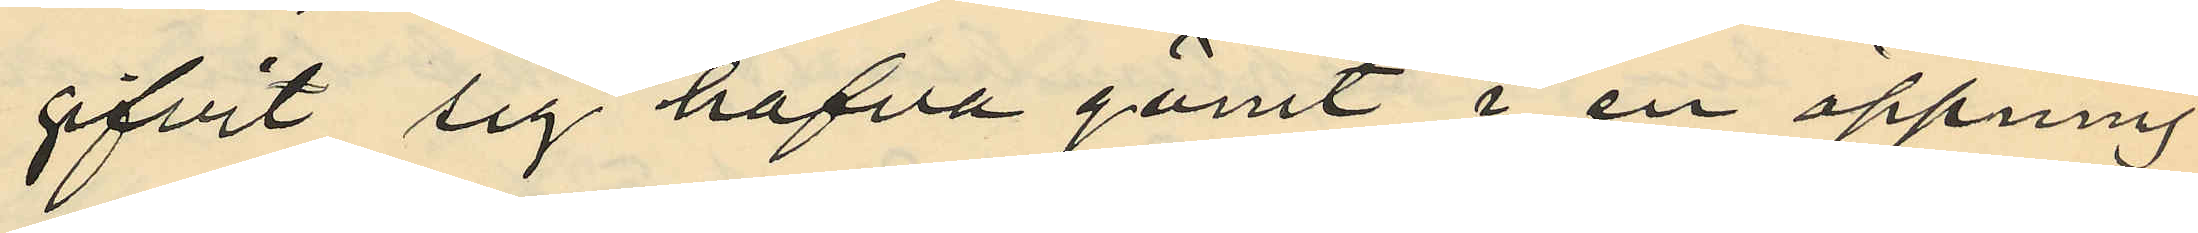gifvit sig hafva gömt i en öppning
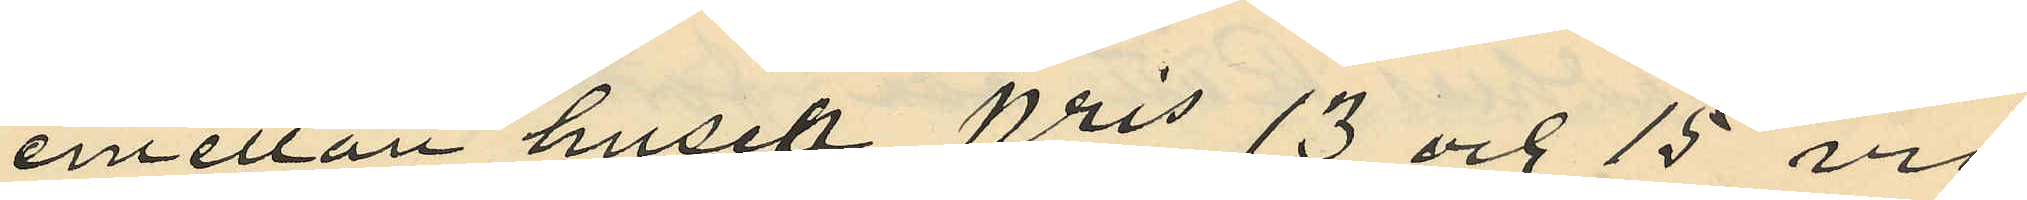emellan huset Nris 13 och 15 vid
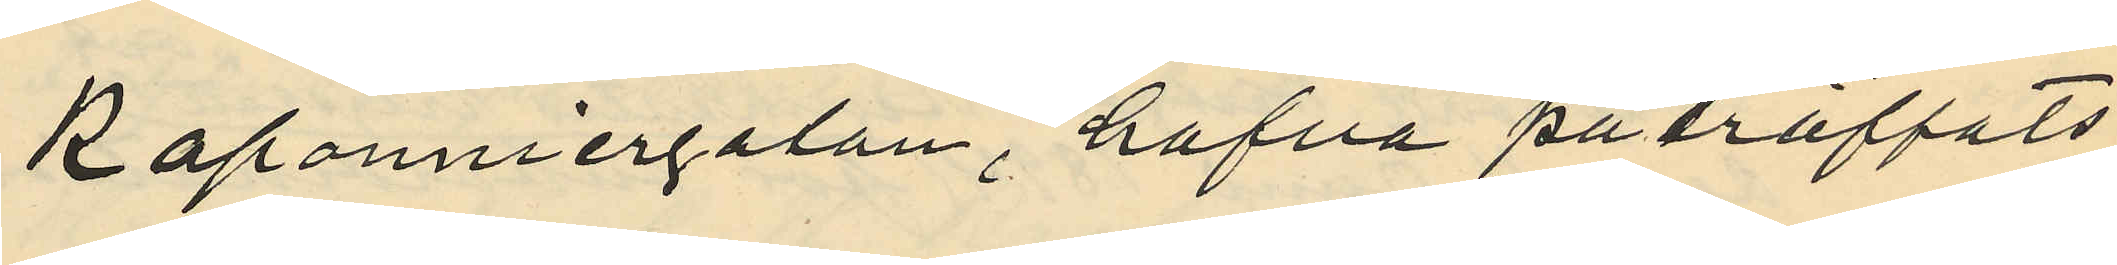Kaponniergatan, hafva påträffats
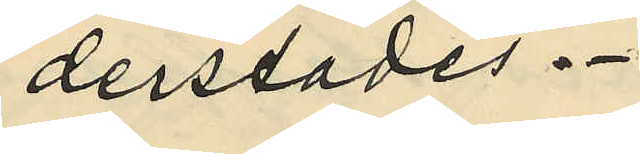derstädes.
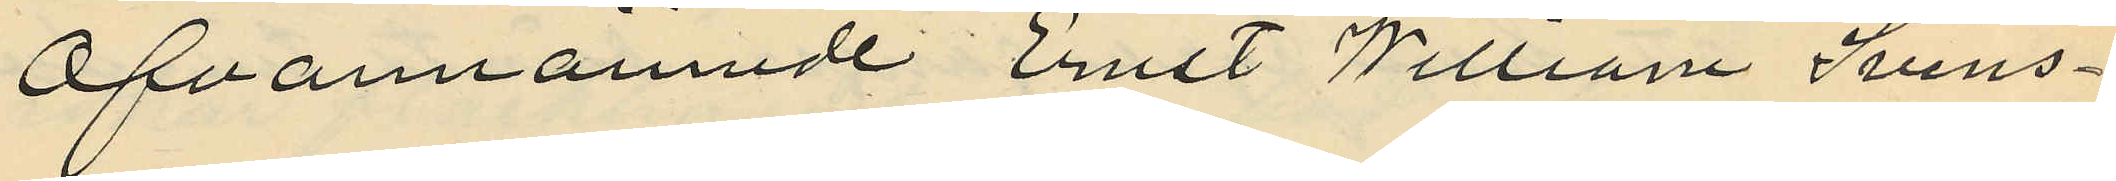Ofvannämnde Ernst Willam Svens¬
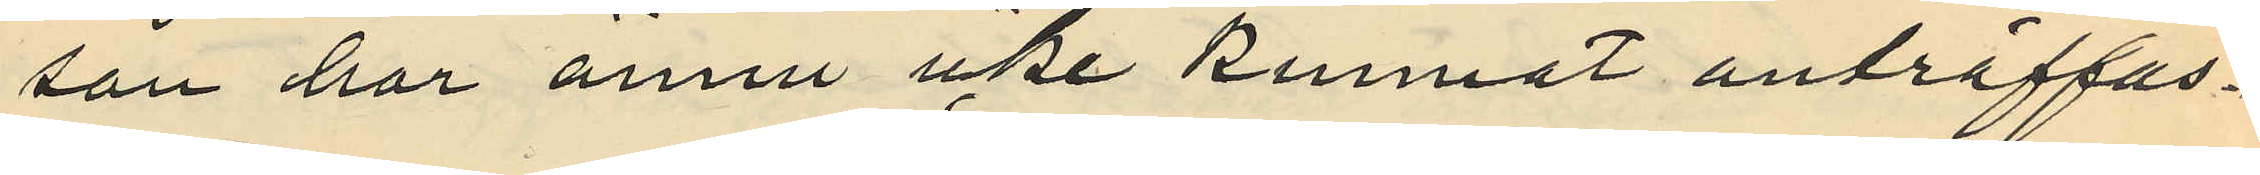son har ännu icke kunnat anträffas.
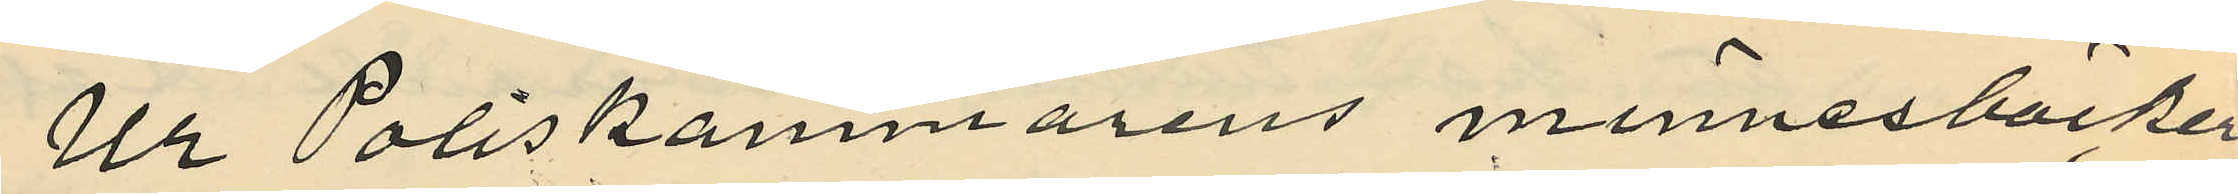Ur Poliskammarens minnesböcker
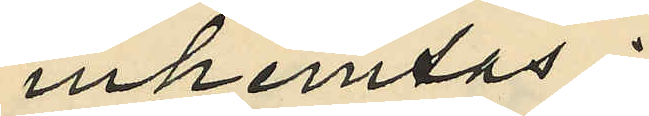inhemtas:
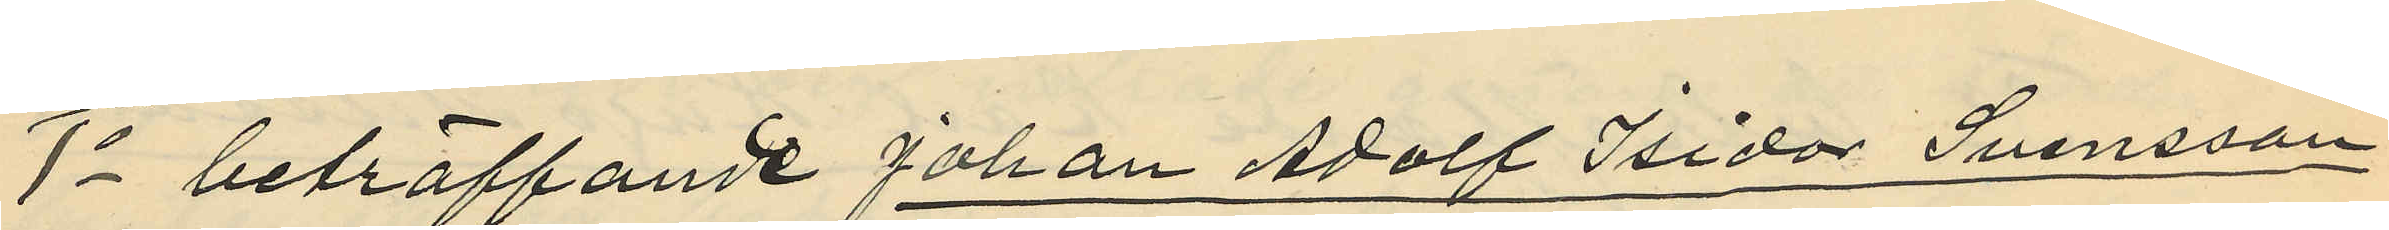1o beträffande Johan Adolf Isidor Svensson
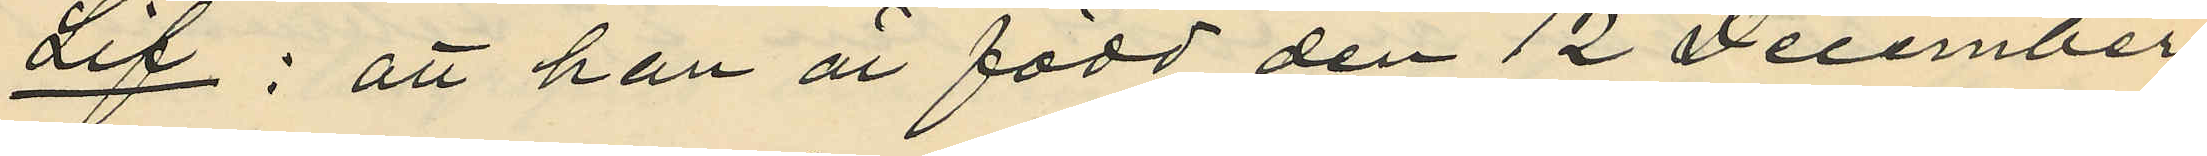Lif: att han är född den 12 December
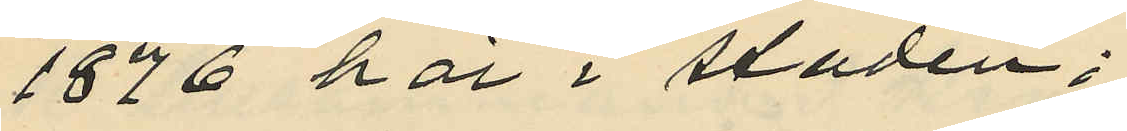1876 här i staden;
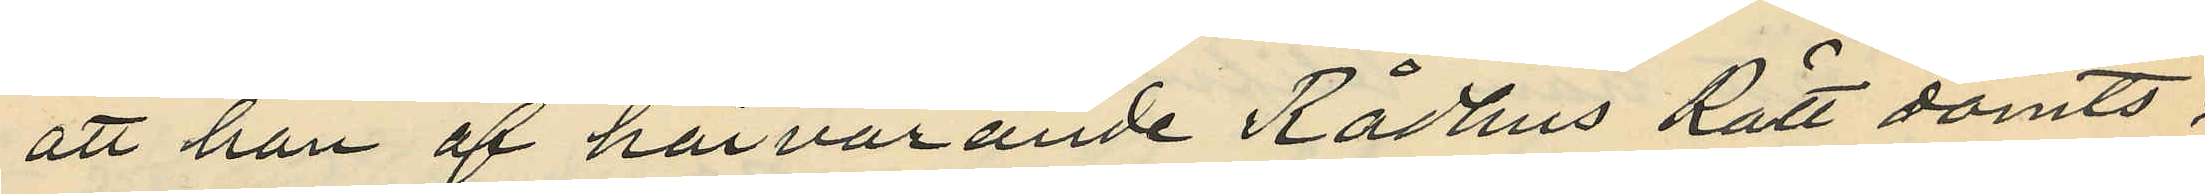att han af härvarande Rådhus Rätt dömts:
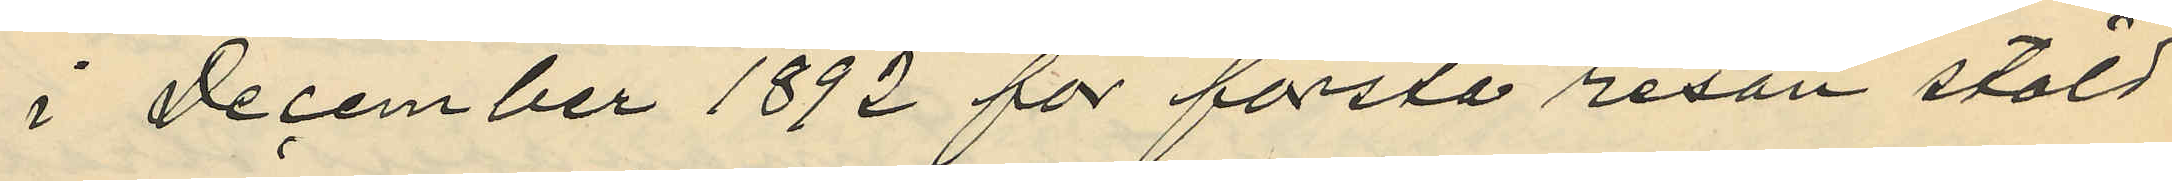i December 1892 för första resan stöld
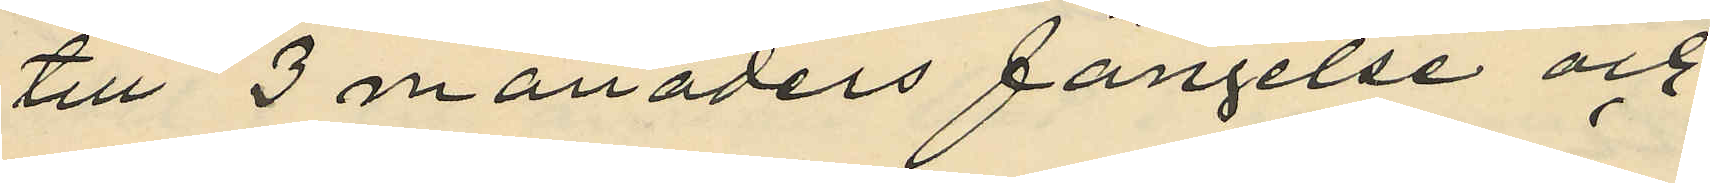till 3 månaders fängelse och
